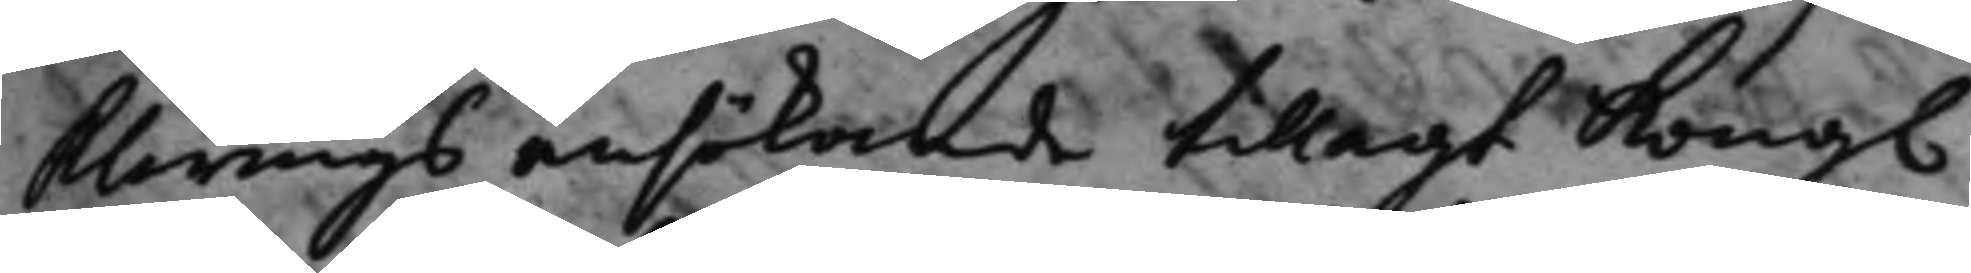klarings ansökande tillagt Kong.
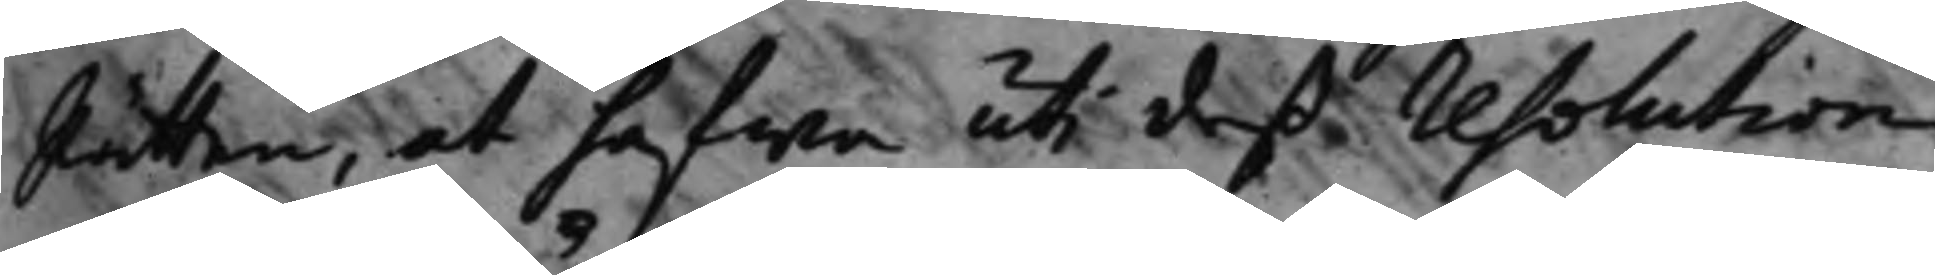Rätten, at hafwa uti deß resolution
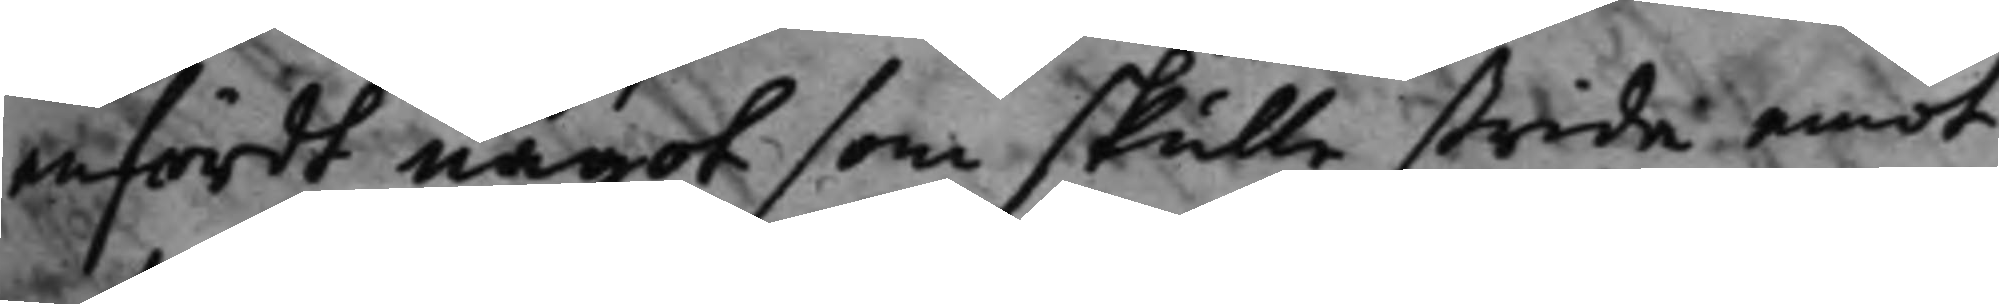infördt något som skulle strida emot
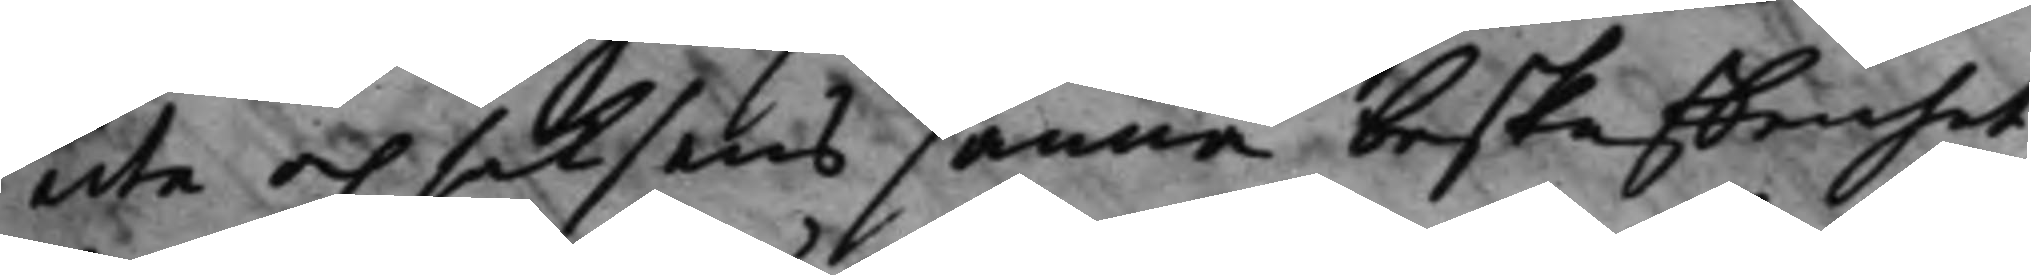acta och saksens sanna beskaffenhet,
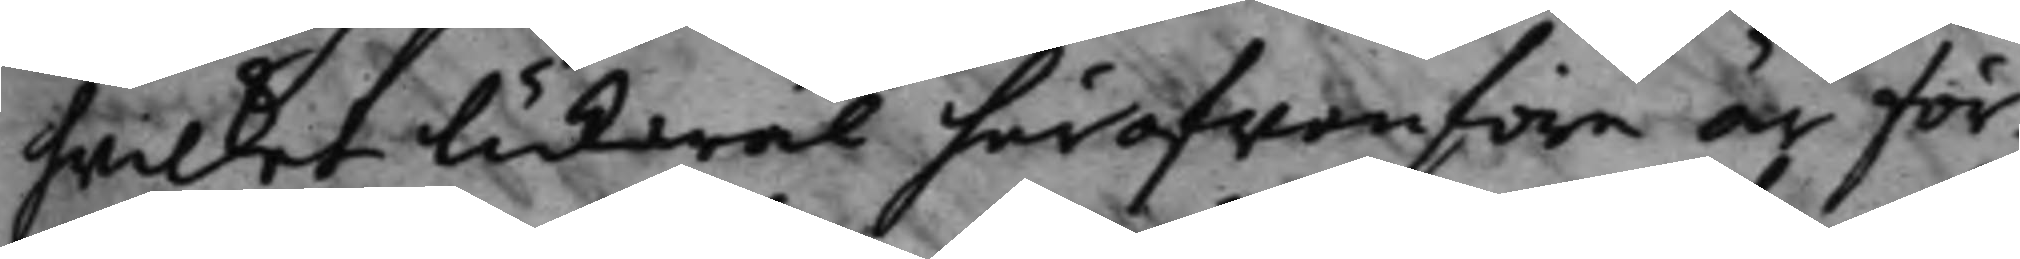hwilket likwäl häröfwanföre är för¬
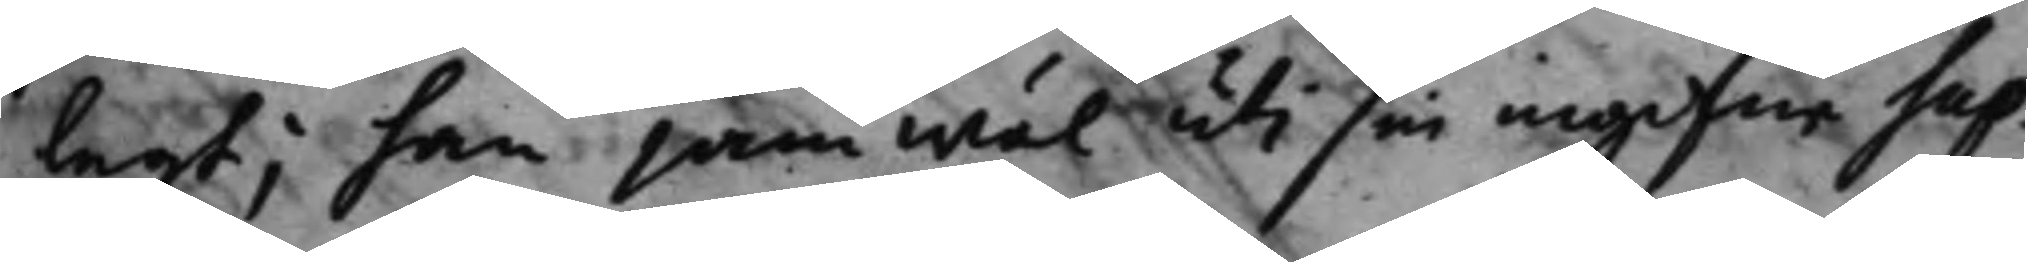lagt; han jämwäl uti sin ingifne Sup¬
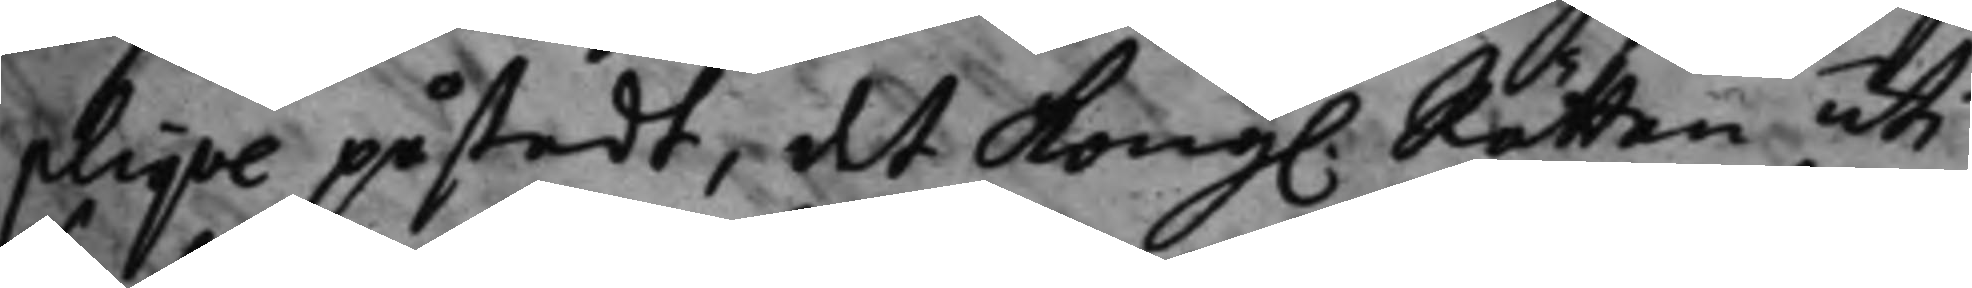plique påstådt, det Kong. Rätten uti
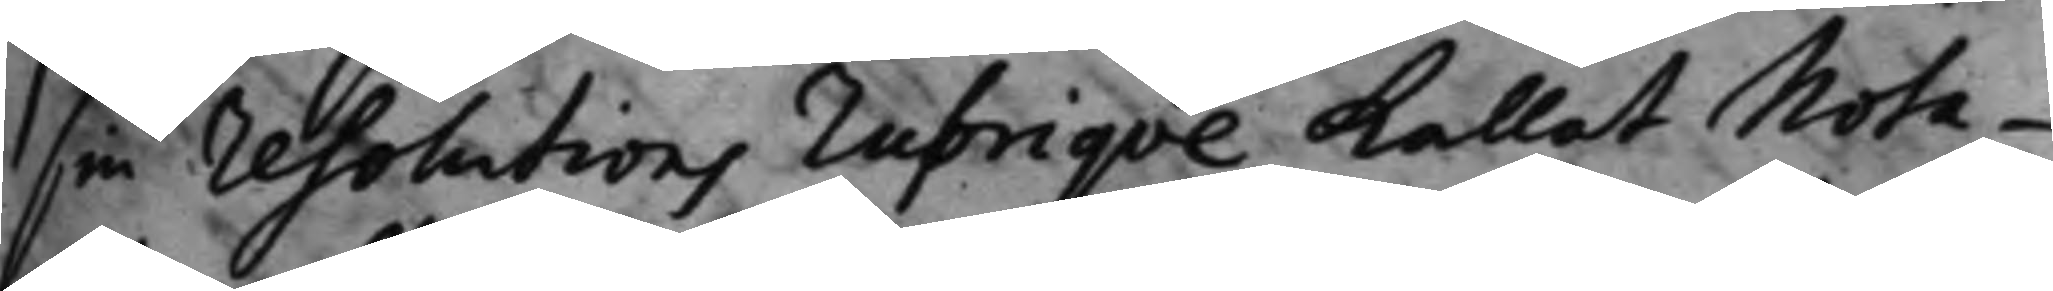sin resolutions rubrique kallat Nota¬
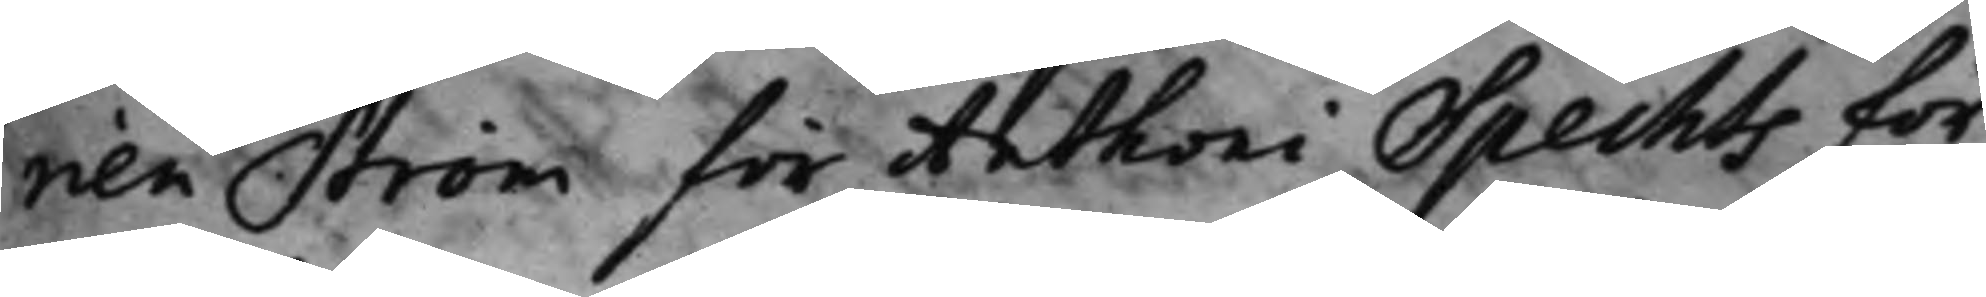rien Ström för Anthoni Spechts för¬
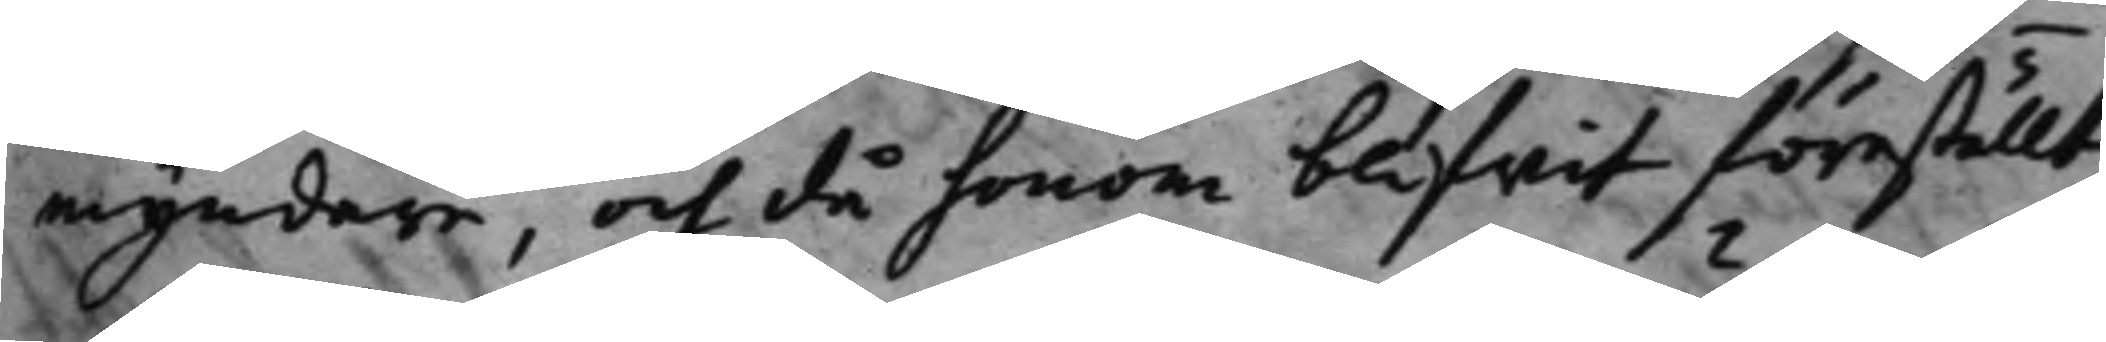myndare och då honom blifwit föreställt,
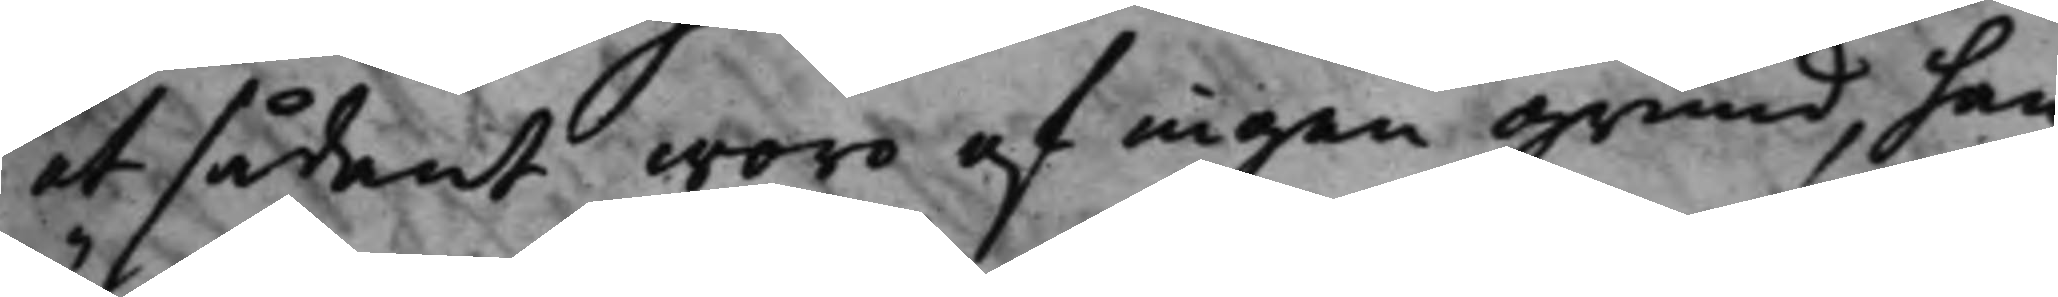at sådant woro af ingen grund, han
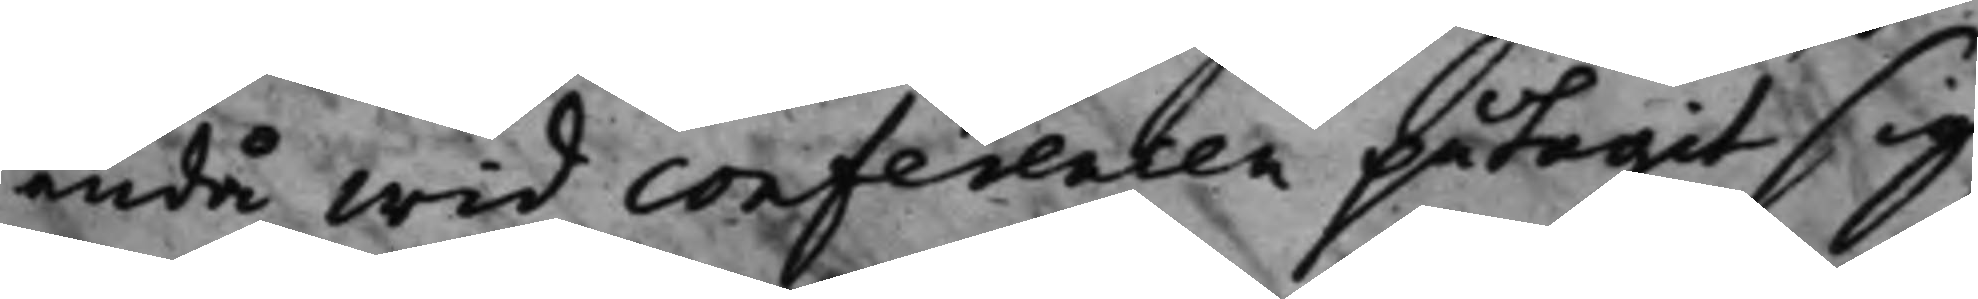ändå wid conferencen påtagit sig,
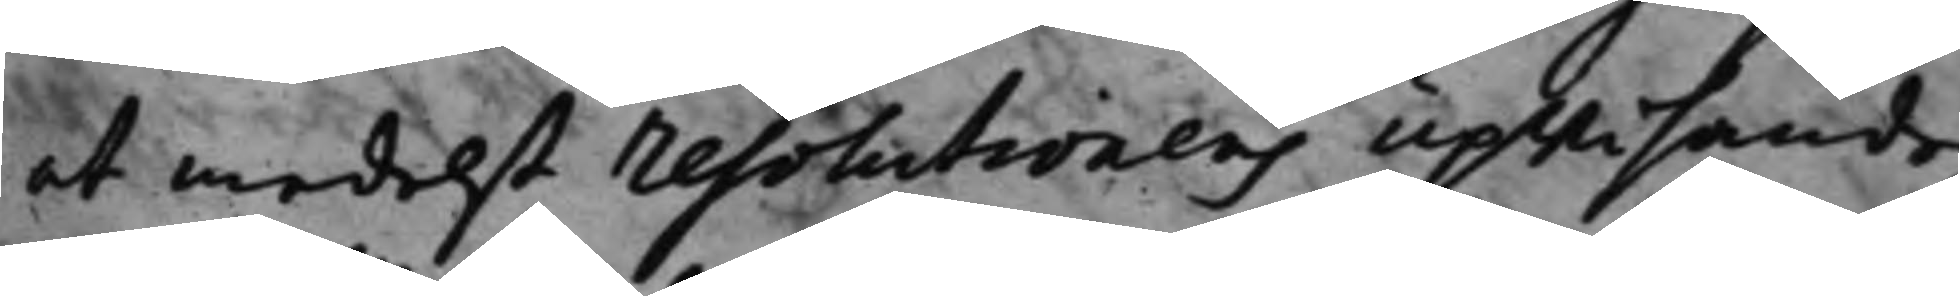at medelst resolutionens upwisande
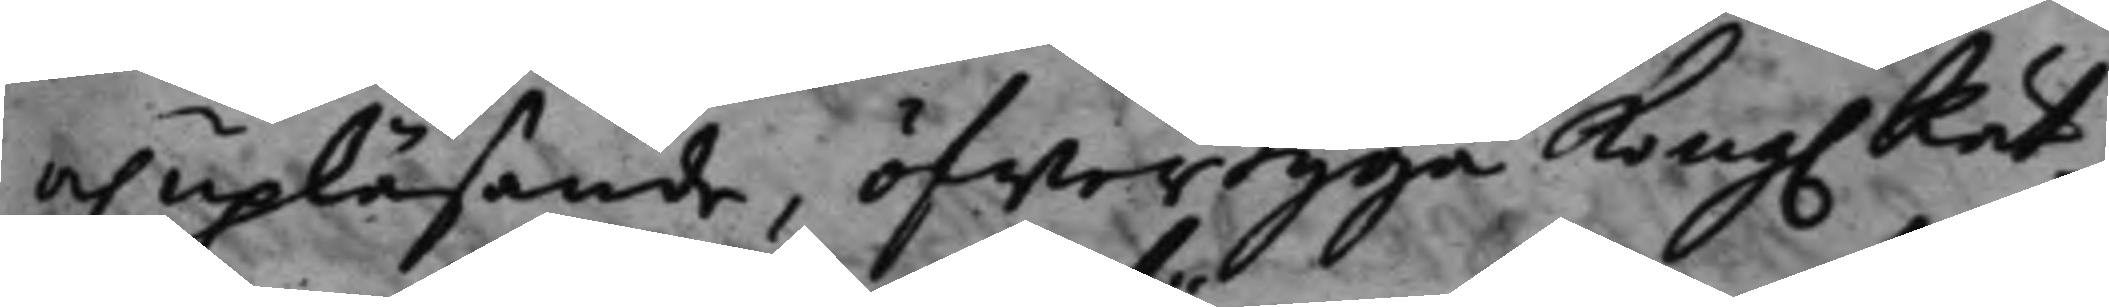och upläsande, öfwertyga Kong. Rät¬
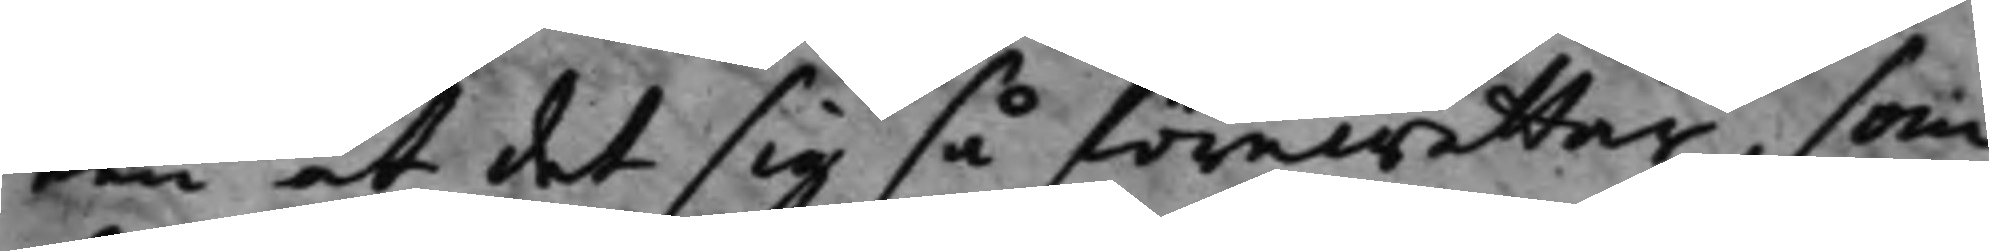ten at det sig så förewettar, som
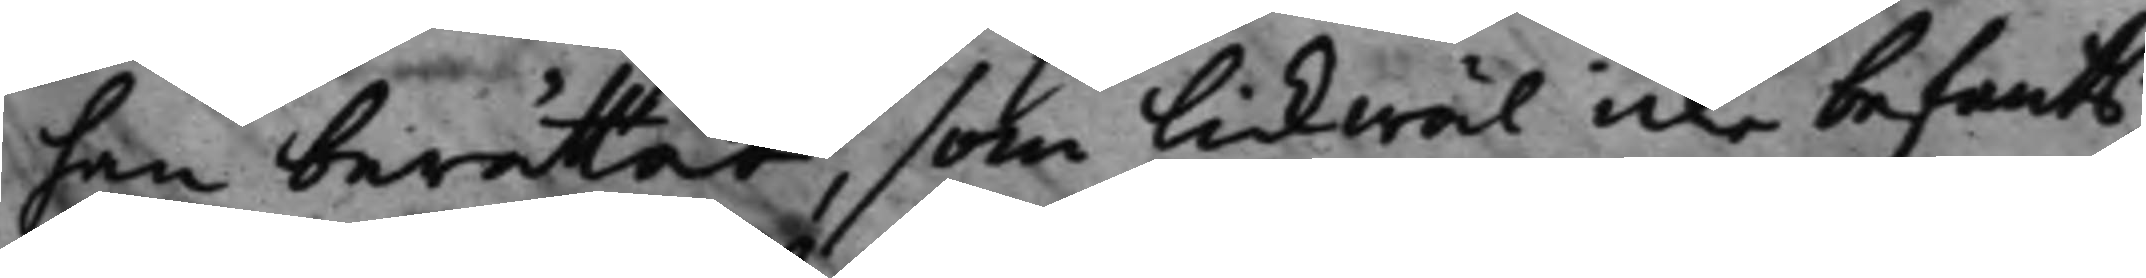han berättat, som likwäl icke befants
